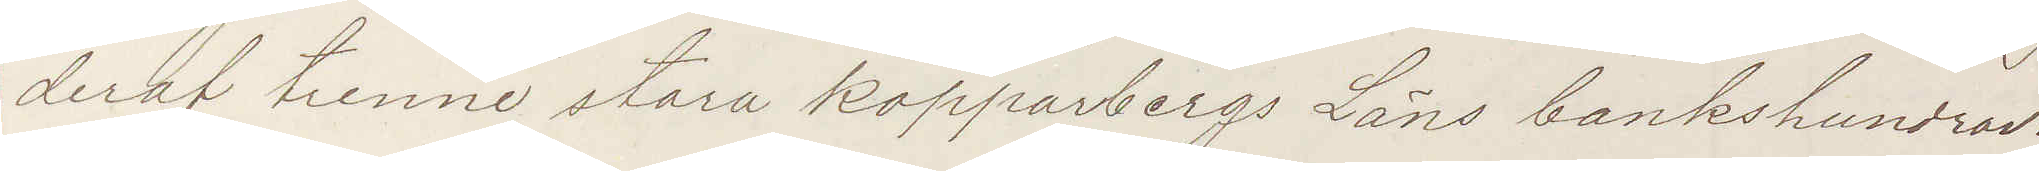deraf trenne stora kopparbergs Läns bankshundrad.
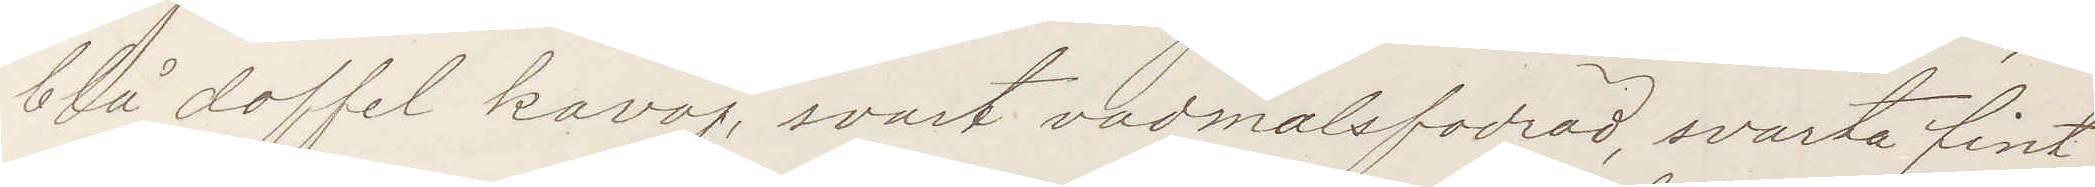blå doffel kavaj, svart vadmalsfodrad, svarta fint
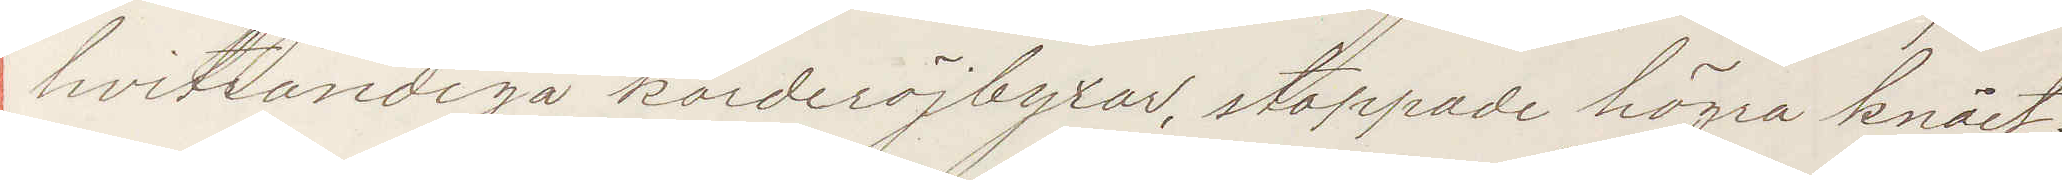hvitrandiga korderöjbyxor, stoppade högra knäet;
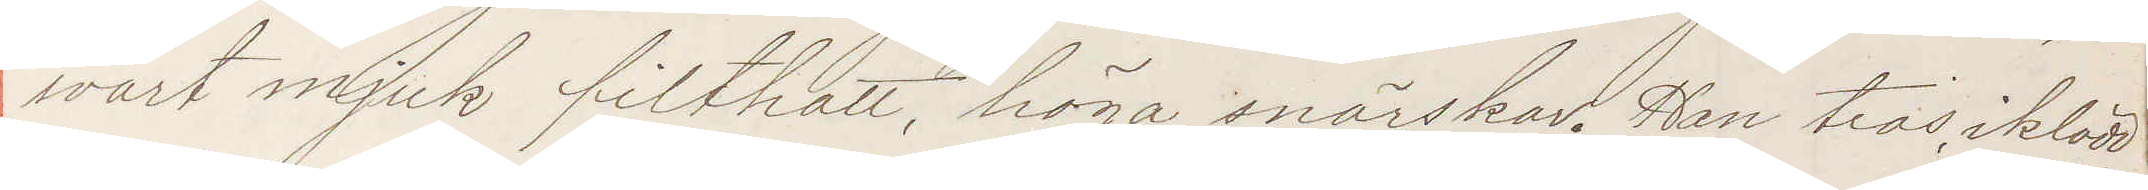svart mjuk filthatt, höga snörskor. Han tros iklädd
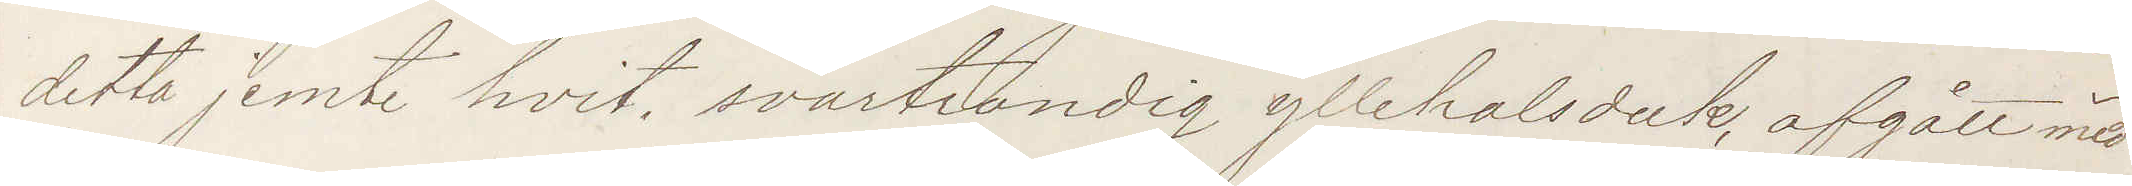detta jemte hvit, svartrandig yllehalsduk, afgått med
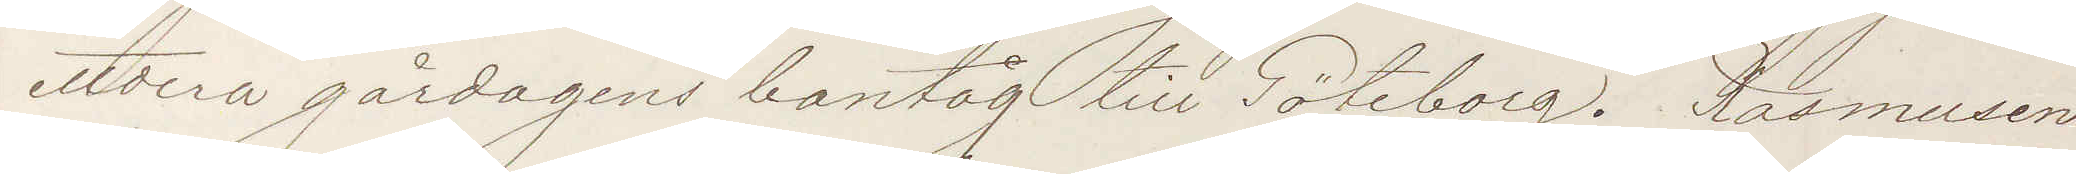ettdera gårdagens bantåg till Göteborg. Rasmusen
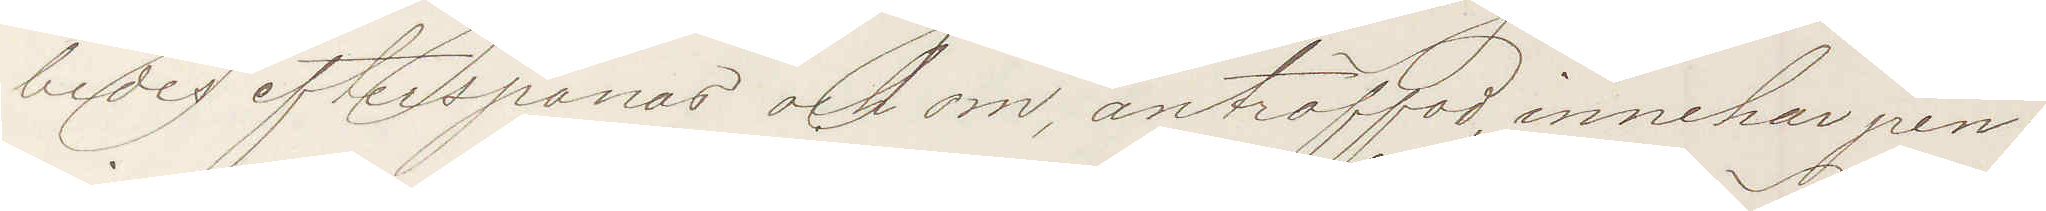bedes efterspanas och om anträffad innehar pen¬
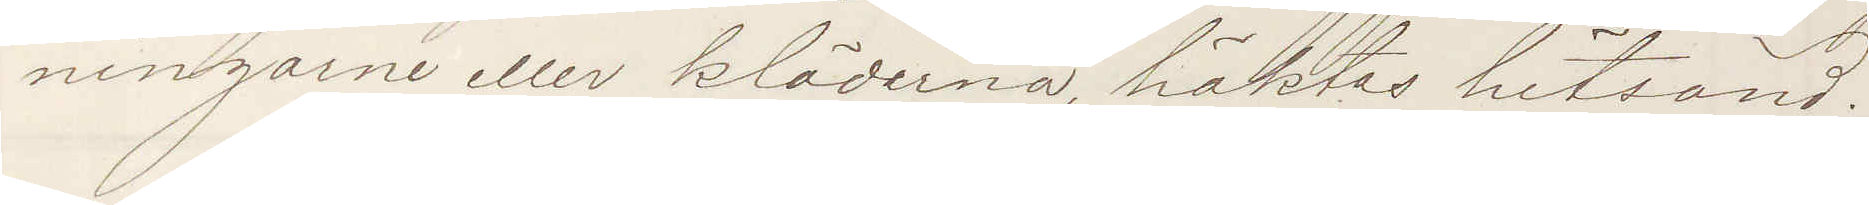ningarne eller kläderna, häktas hitsänd!
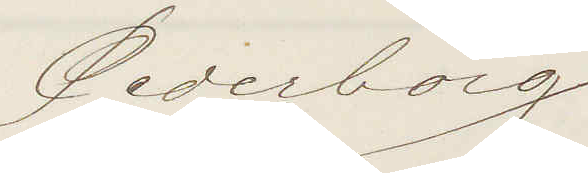Cederborg
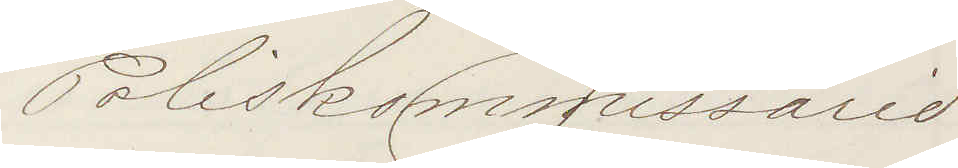Poliskommissarie
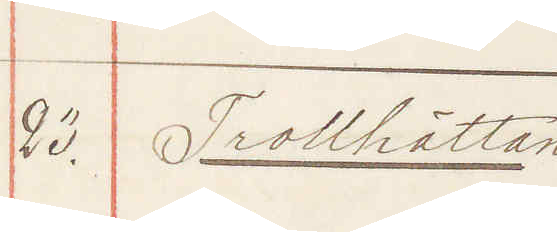23. Trollhättan
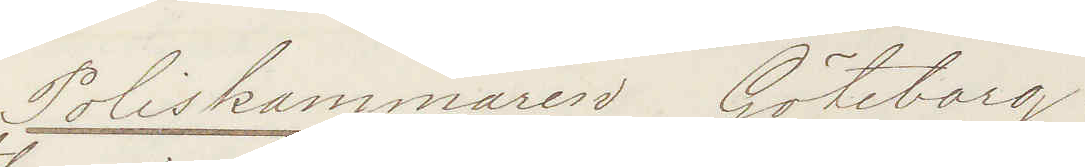Poliskammaren Göteborg!
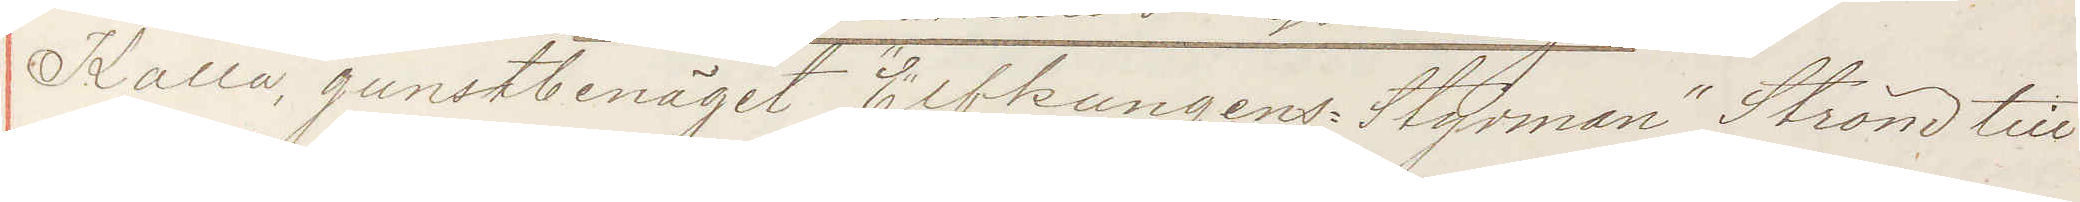Kalla gunstbenäget "Elfkungens Styrman" Ström till
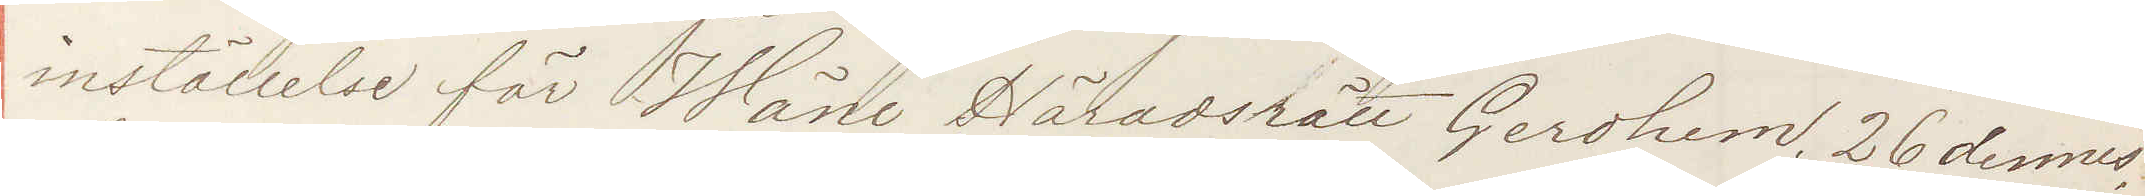inställelse för Wäne Häradsrätt Gerdhem 26 dennes
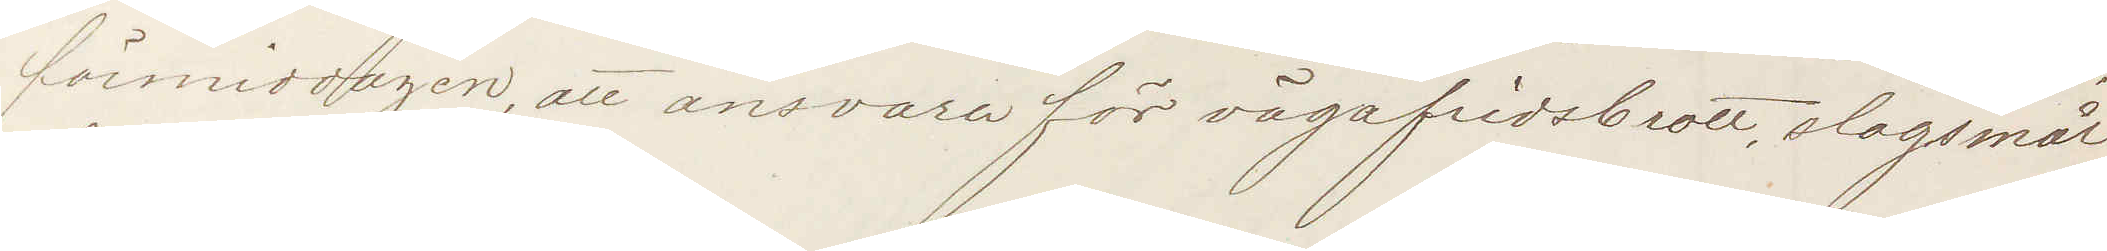förmiddagen, att ansvara för vägafridsbrott, slagsmål
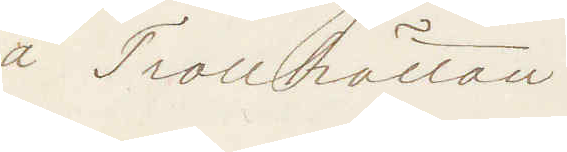å Trollhättan.
